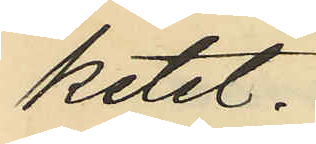ketet.
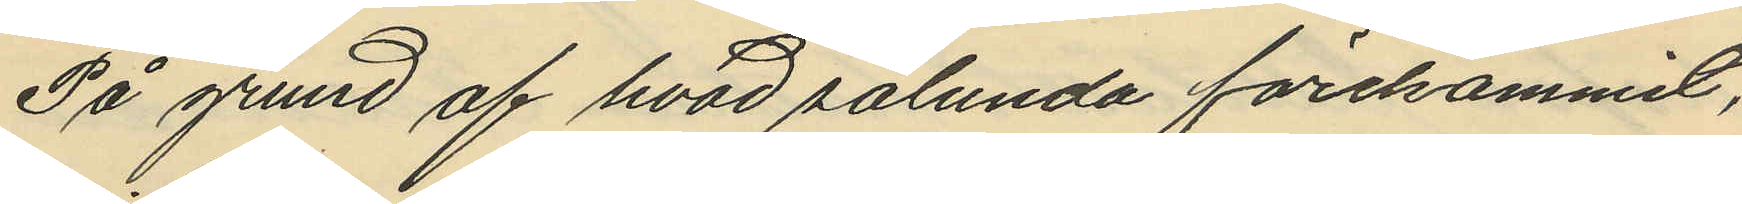På grund af hvad sålunda förekommit,
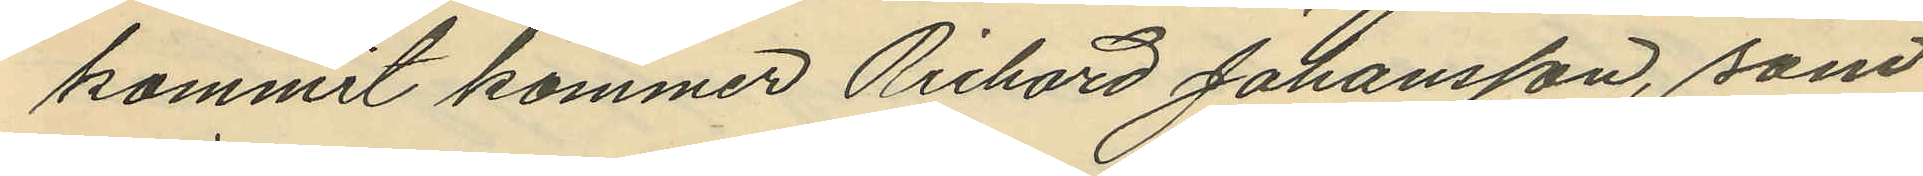kommit kommer Richard Johansson, som
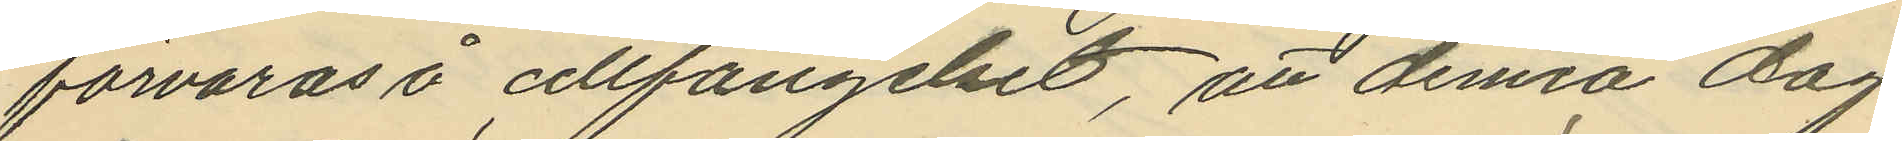förvaras i cellfängelset, att denna dag
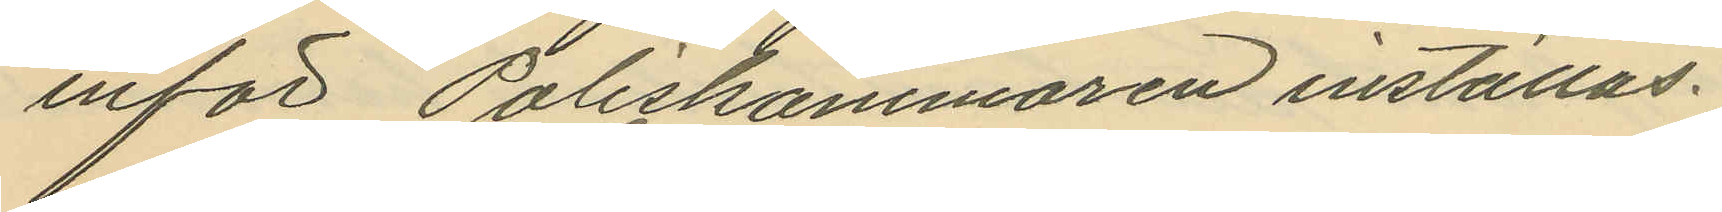inför Poliskammaren inställas.
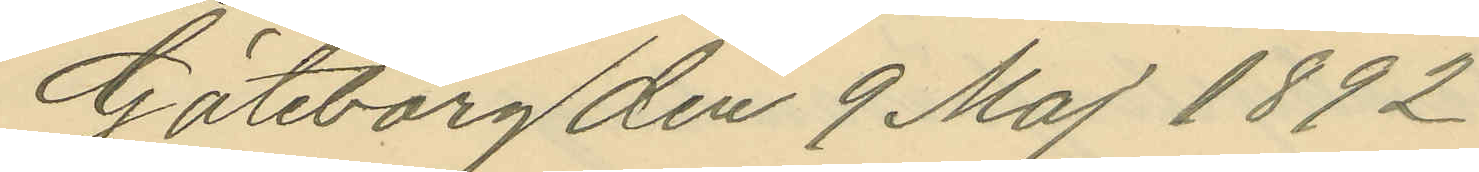Göteborg den 9 Maj 1892
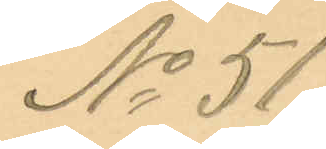No 51.
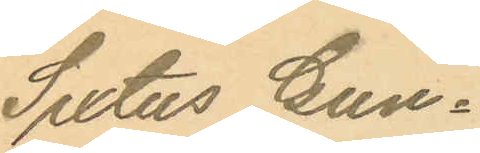Sixtus Gun¬
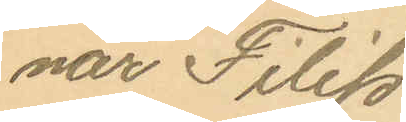nar Filip
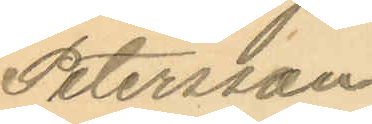Petersson.
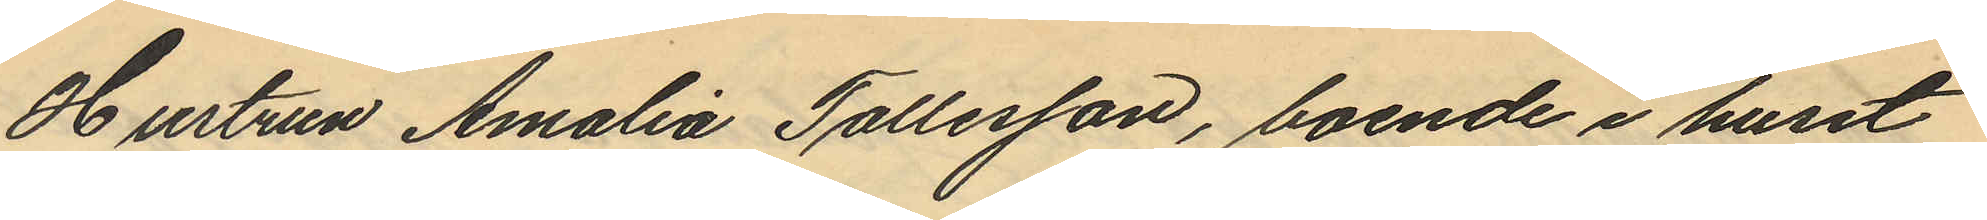Hustrun Amalia Tollesson, boende i huset
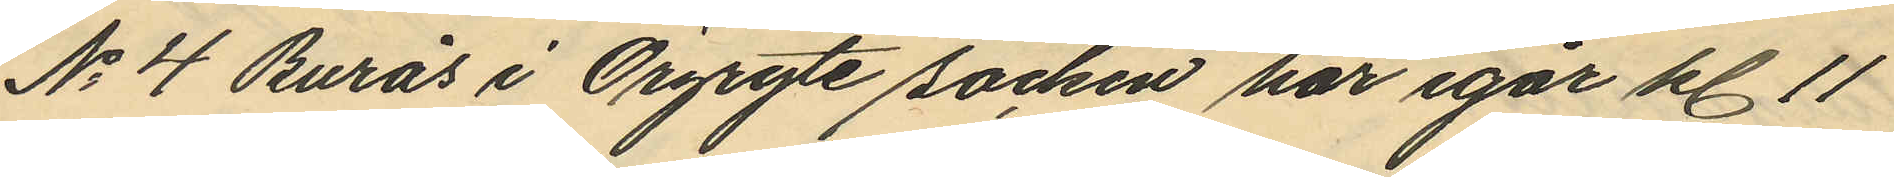No 4 Burås i Örgryte socken har igår kl. 11
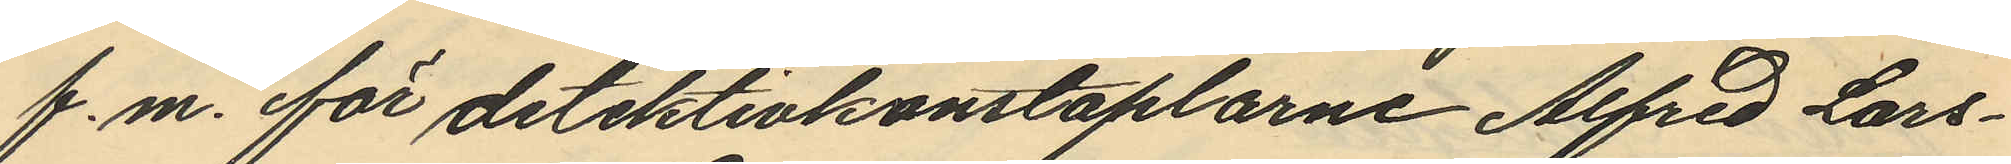f.m. för detektivkonstaplarne Alfred Lars¬
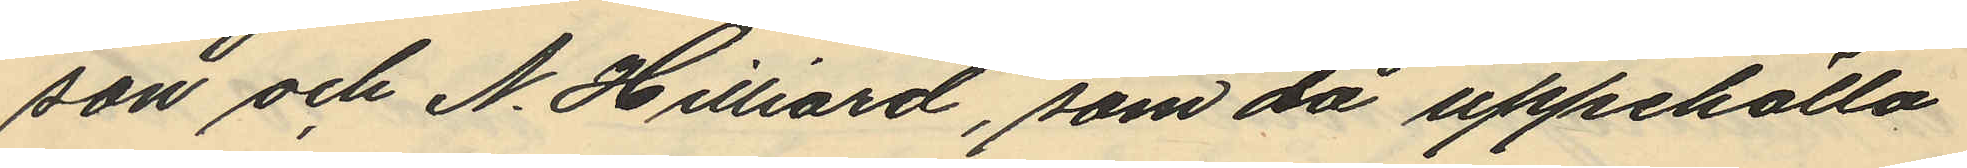son och N. Hilliard, som då uppehölllo
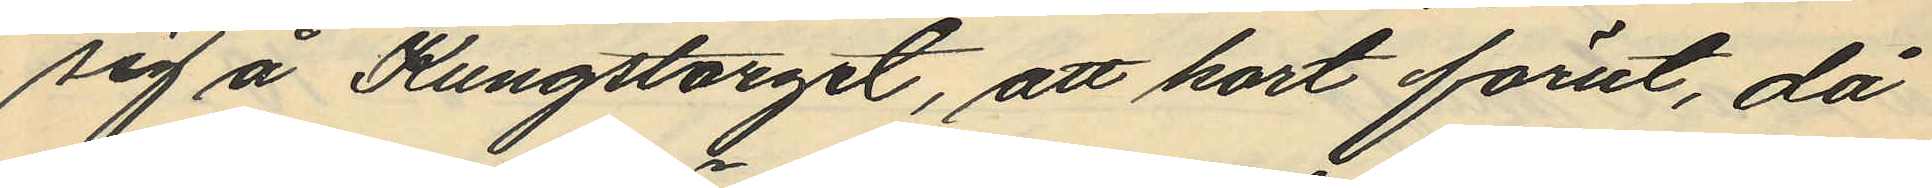sig å Kungstorget, att kort förut, då
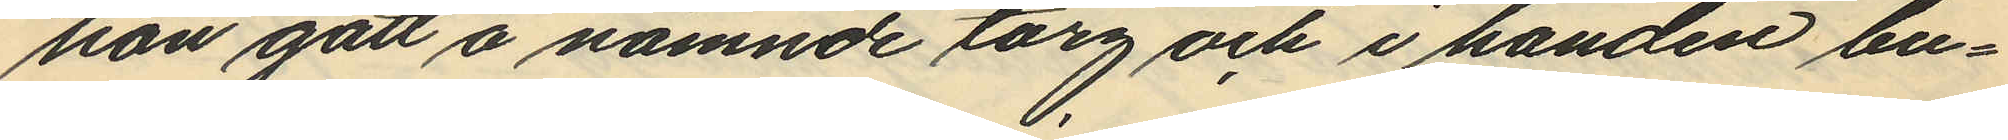hon gått å nämnde torg och i handen bu¬
